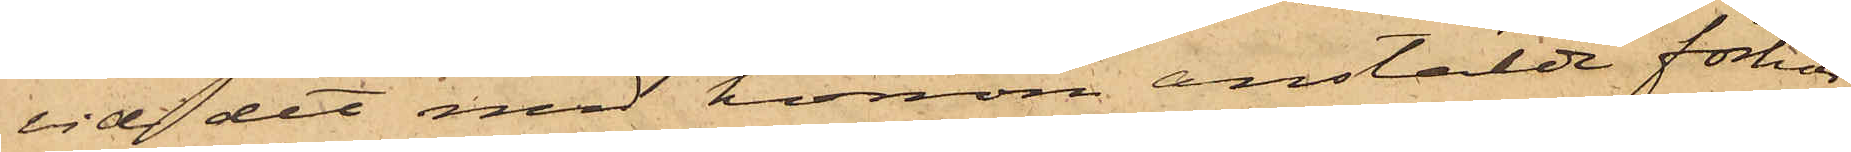vid det med honom anstälde förhör
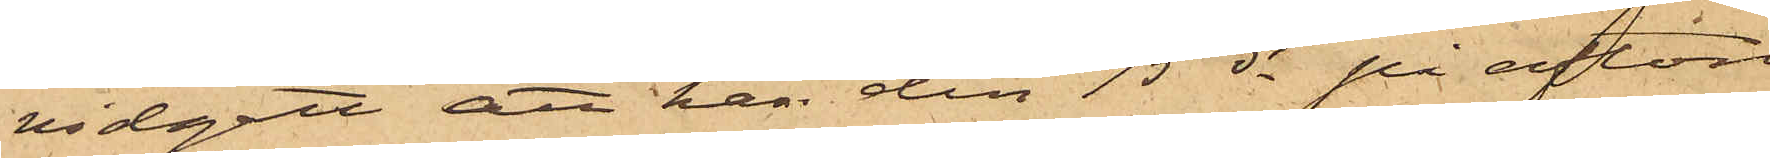vidgått att han den 15 ds på afton
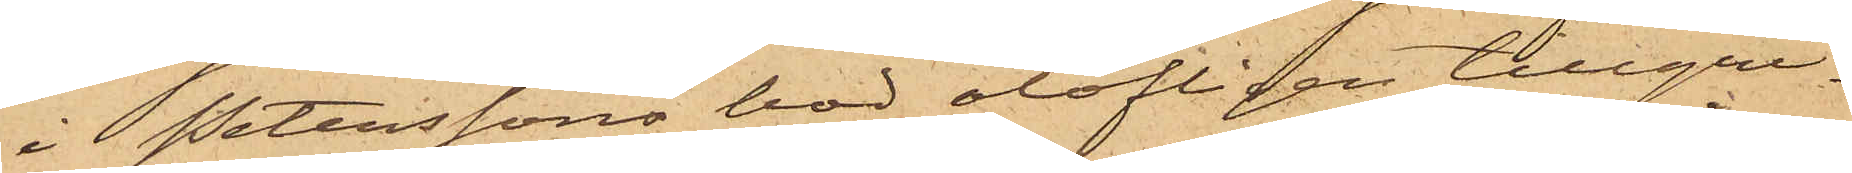i Peterssons bod olofligen tillgri¬
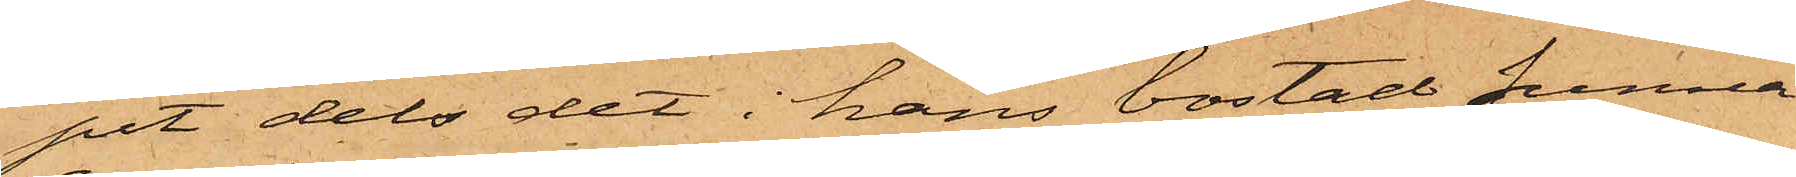pit dels det i hans bostad funna
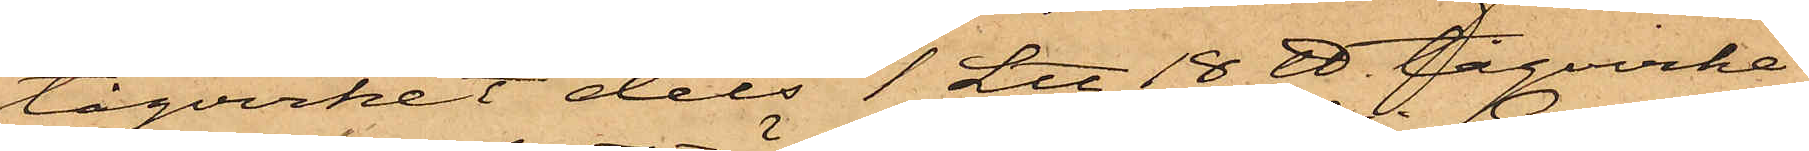tågvirket dels 1 L℔ 18 ℔. tågvirke
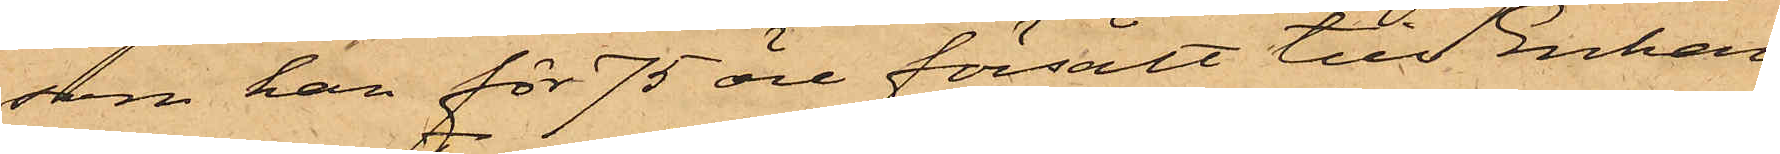som han för 75 öre försålt till Enkan
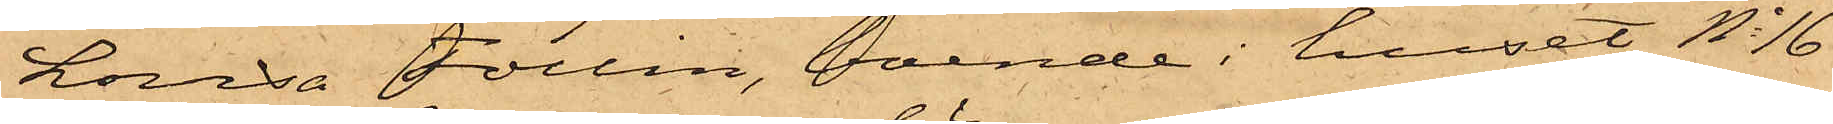Lovisa Follin, boende i huset No 16
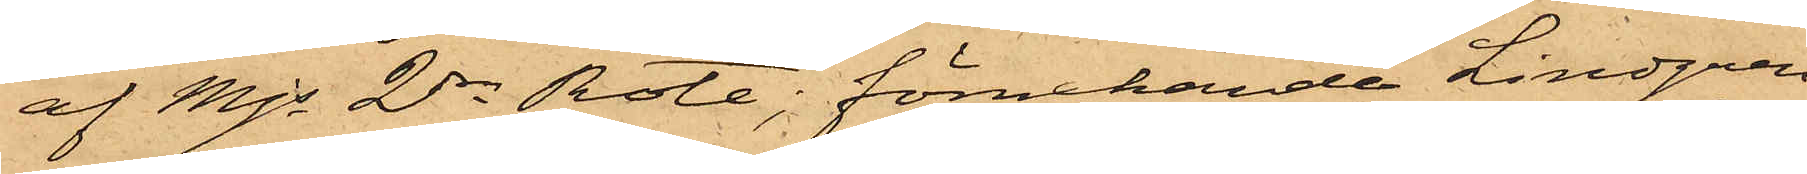af Mjs 2dra Rote; förnekande Lindgren
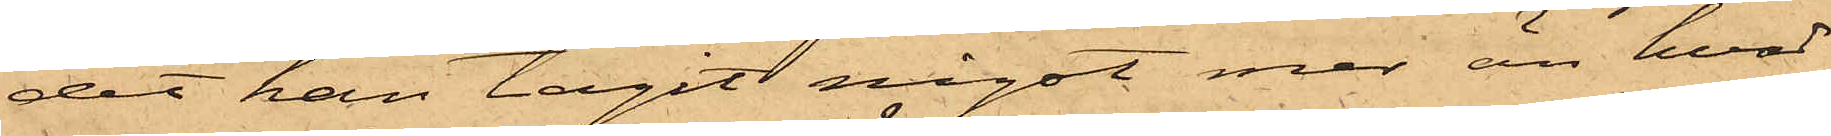det han tagit något mer än hvad
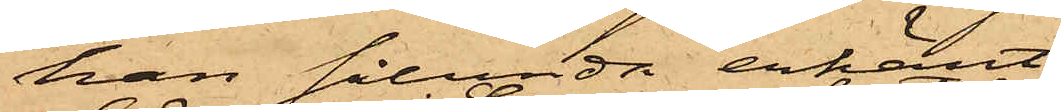han sålunda erkänt.
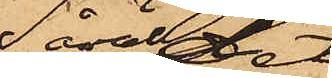Såväl det
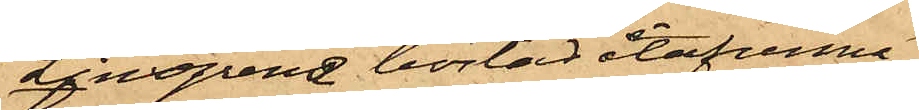i Lindgrens bostad återfunna
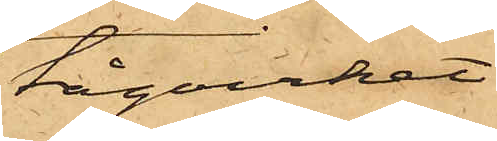tågvirket
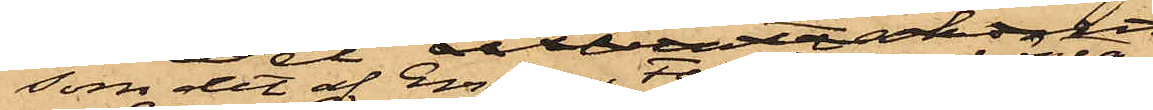som det af Enkan Follin inköpta
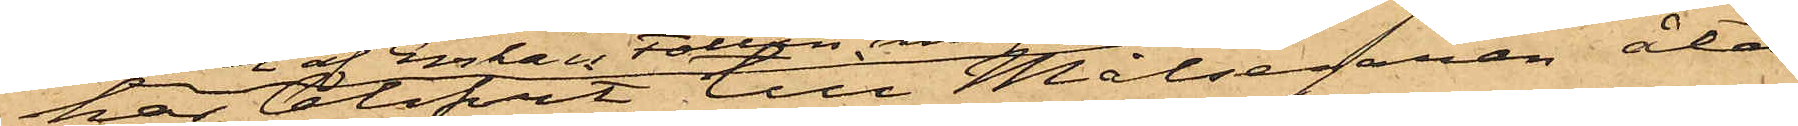har blifvit till Målsegaren åter¬
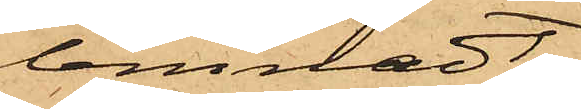lemnadt.
